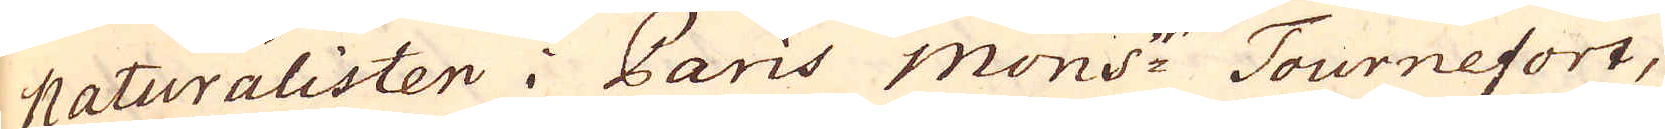naturalisten i Paris Mons:r Tournesort,
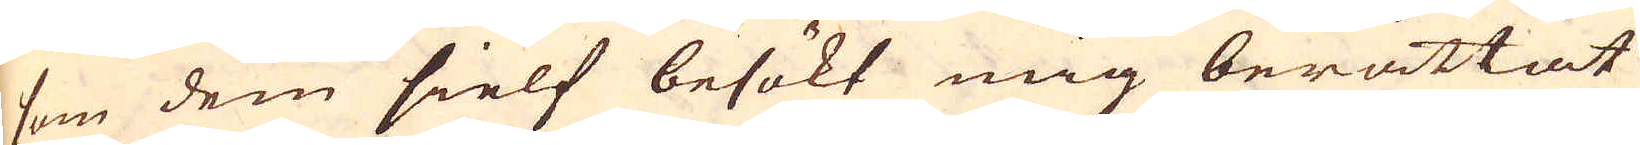som dem sielf besökt mig berättat
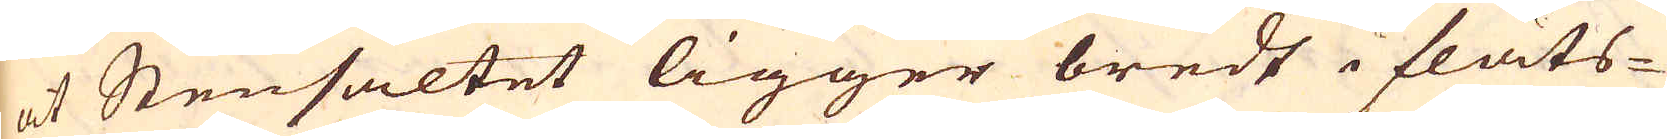at Stensaltet ligger bredt i flåts-
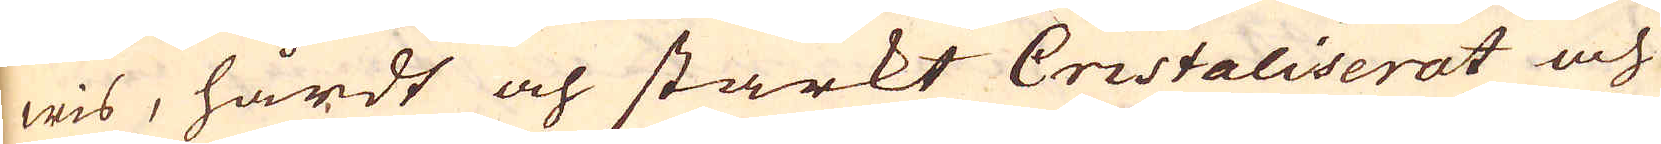wis, hårdt och starkt Cristaliserat och
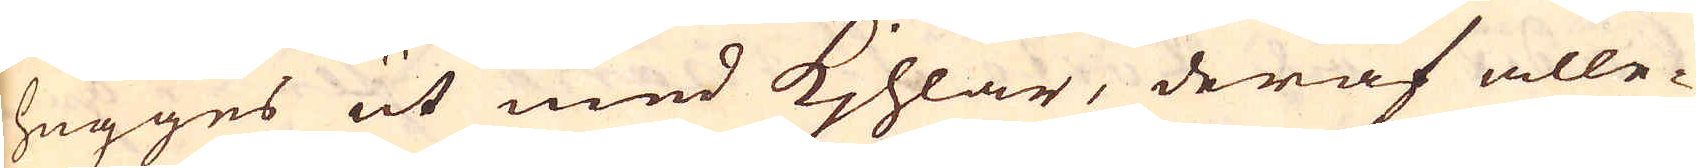hugges ut med kjhlar, deraf alle-
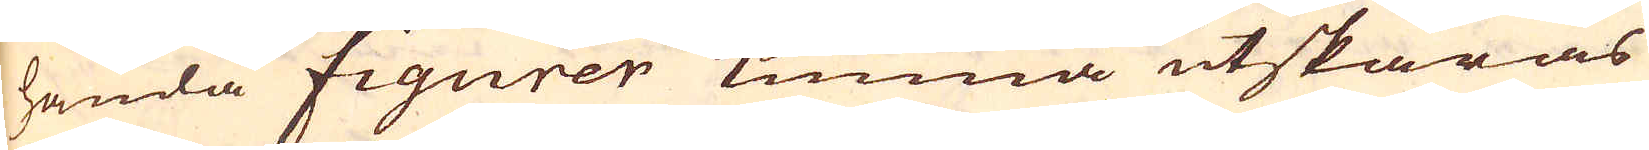handa figurer kunna utskäras
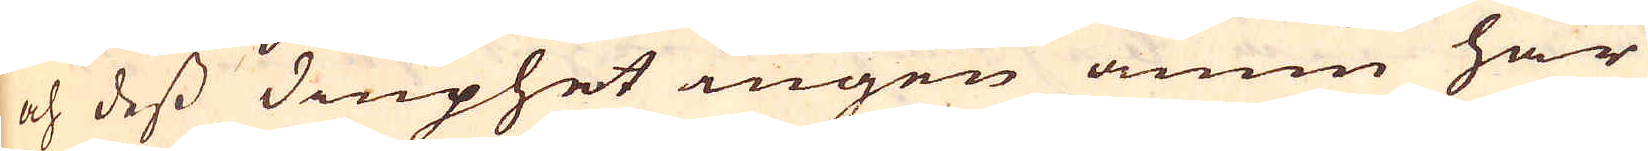och dess diuphet ingen ännu här
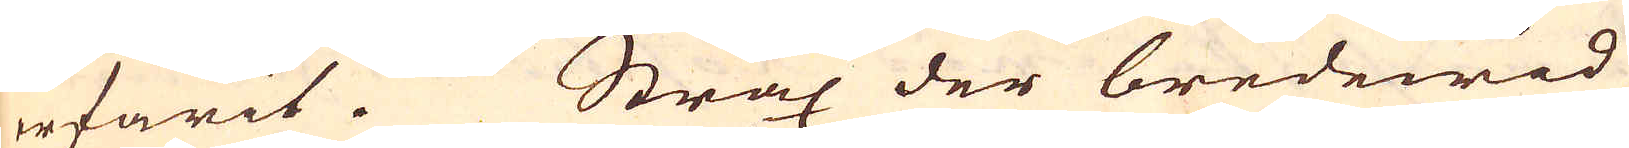erfarit. Strax der bredewid
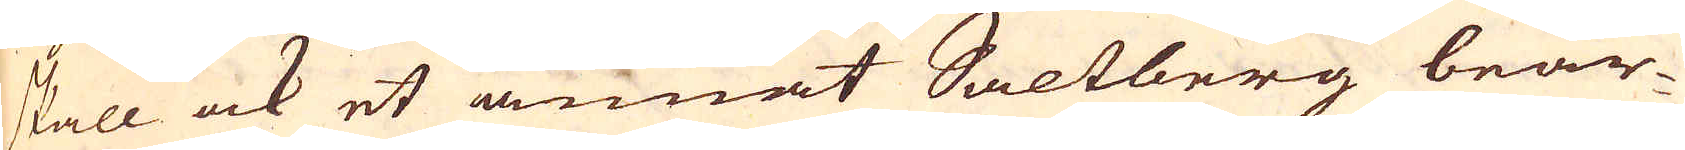skall ock et annat Saltberg bear-
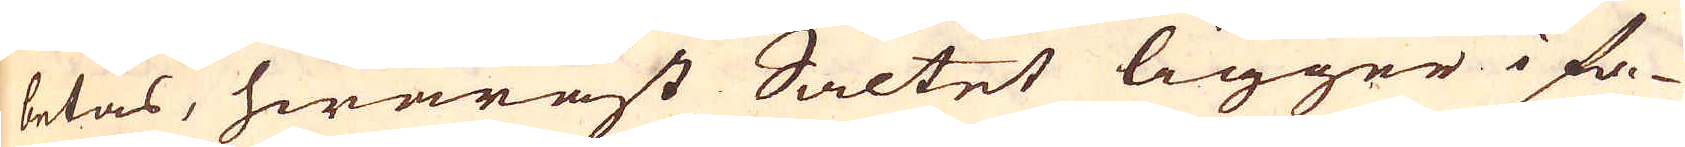betas, hwaräst Saltet ligger i fa-
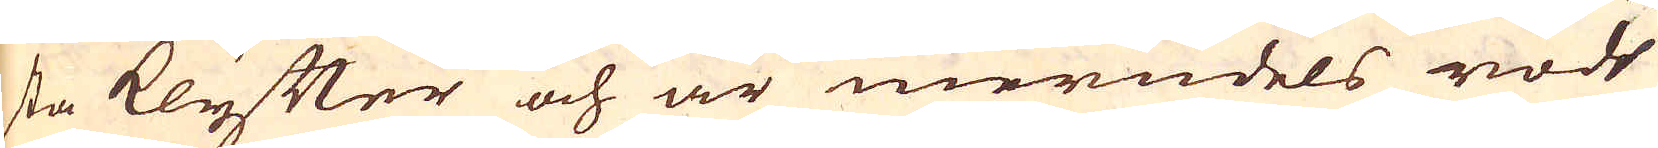sta klyfter och är merndels rödt
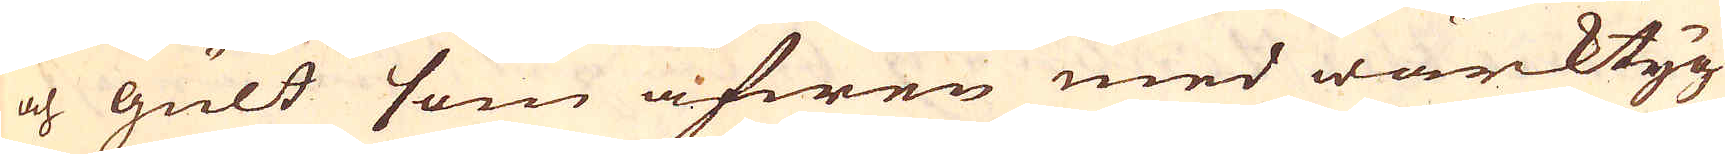och gult som äfwen med wärktyg
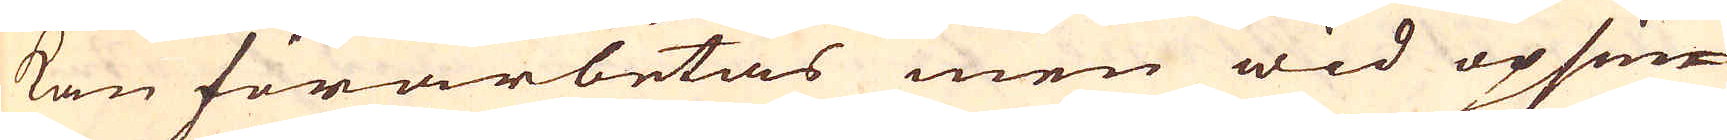kan förarbetas men wid opsän-
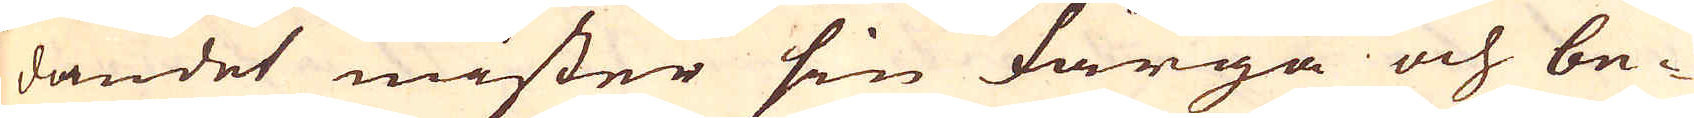dandet mister sin färga och be-
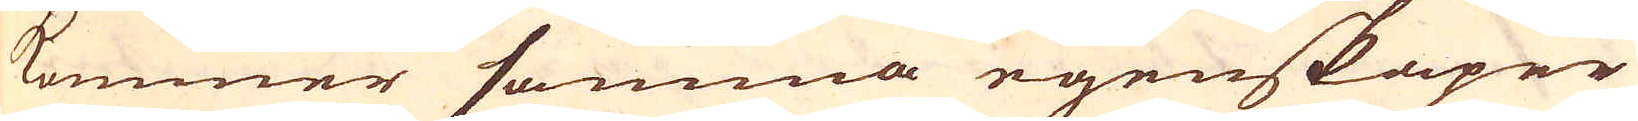kommer samma egenskaper
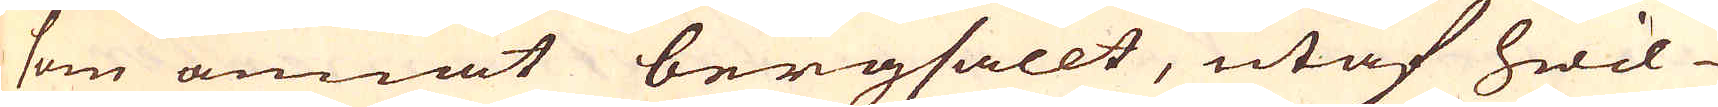som annat bergsallt, utaf hwil-
